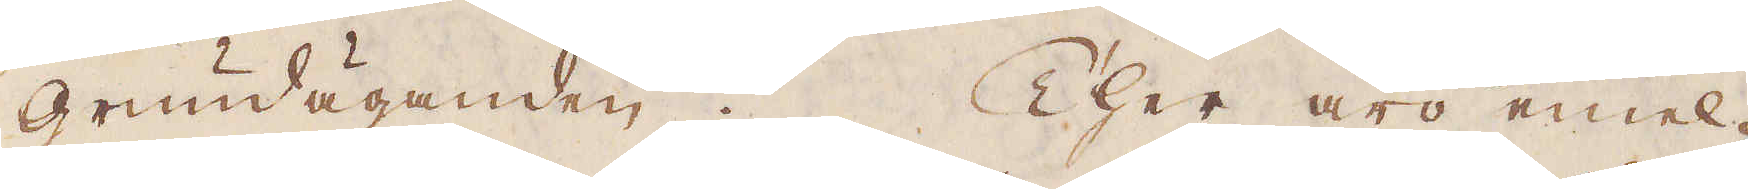grundäganden. Ther äro emel-
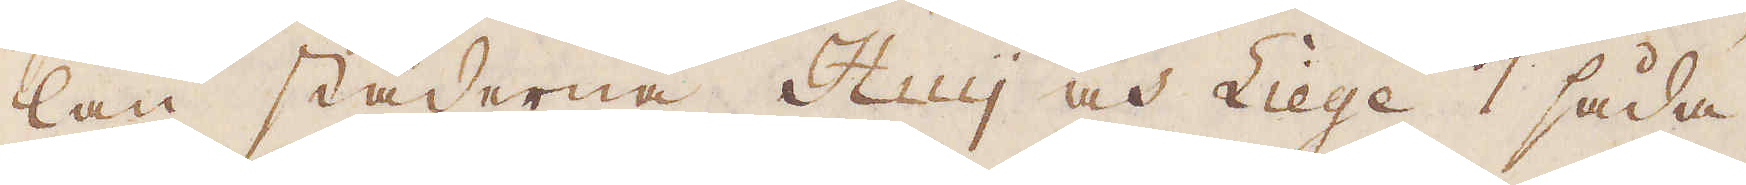lan städerna Huy och Liege 7 såda-
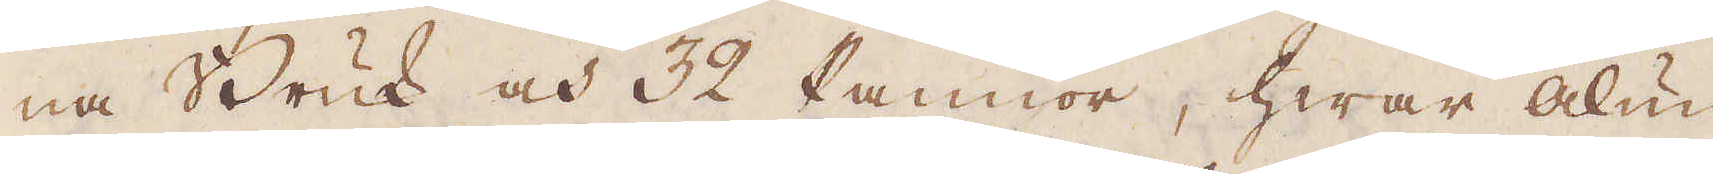na Bruk och 32 Pannor, hwar Alun
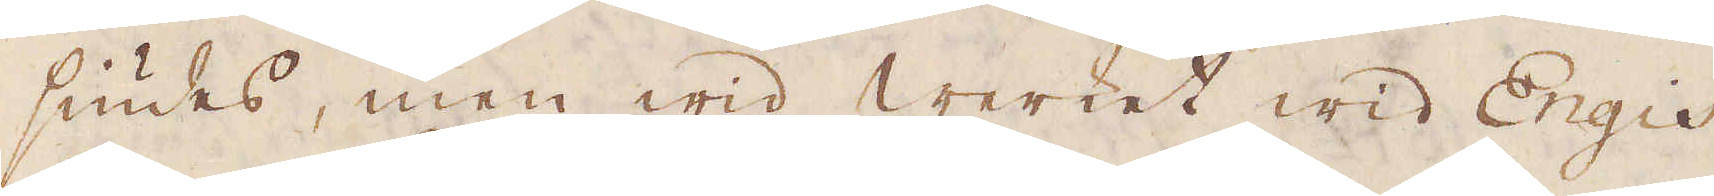siudes, men wid Werket wid Engis
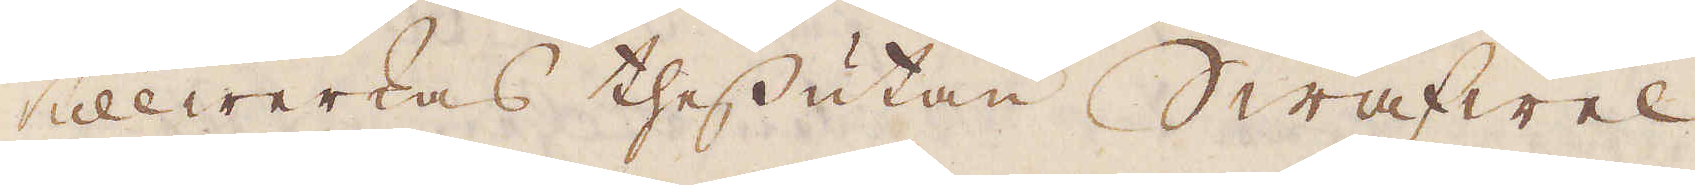tillwerkas thessutan Swafwel
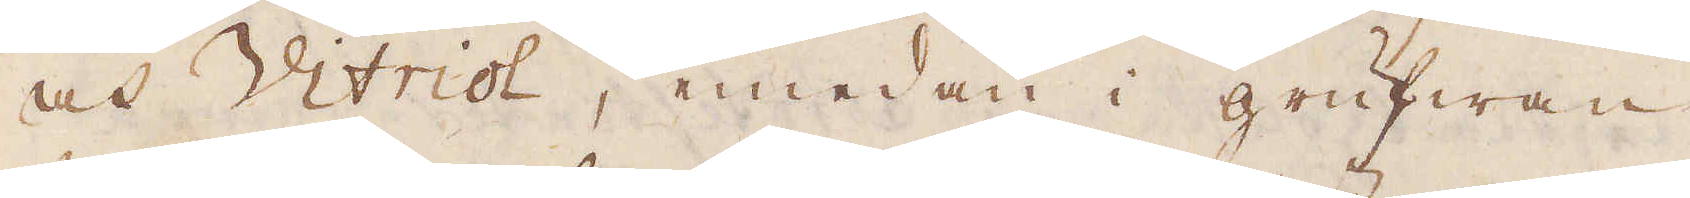och Vitriol, emedan i grufwan
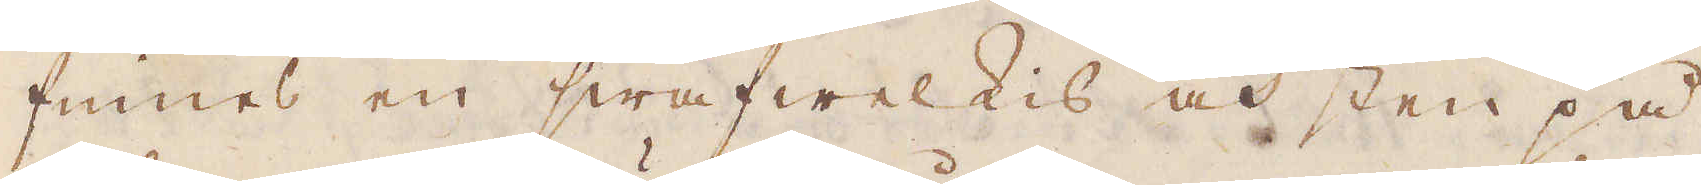finnes en swafwelkis och sten på
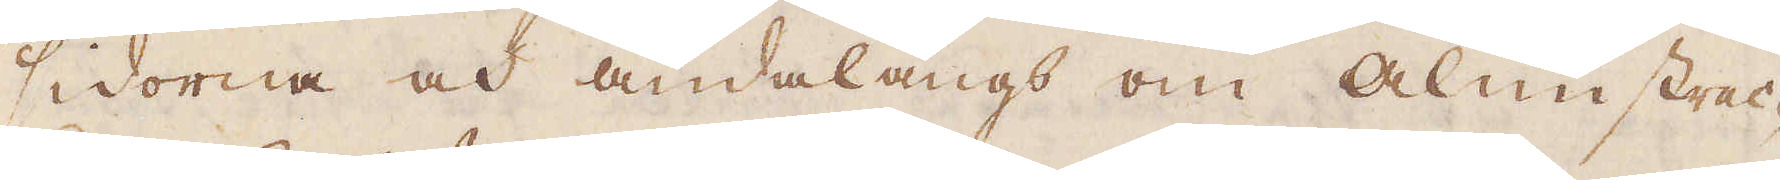sidorna och ändalångs om Alunstrec-
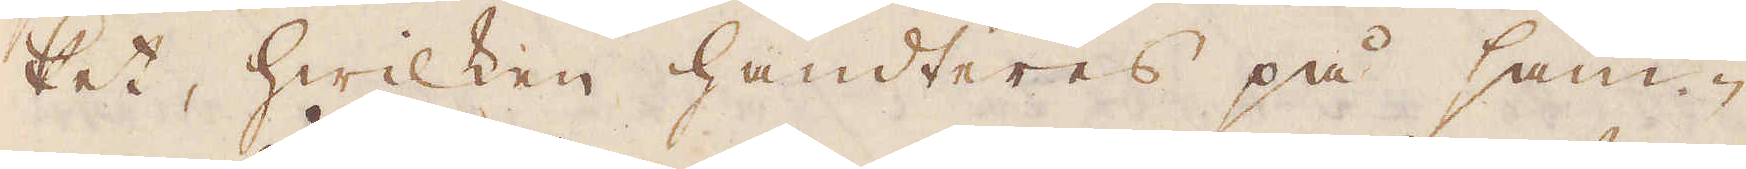ket, hwilken handteres på sam-
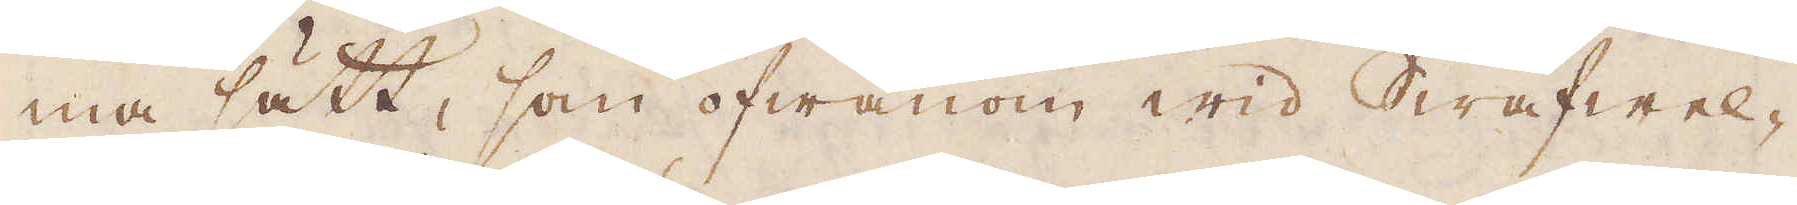ma sätt, som ofwanom wid Swafwel-
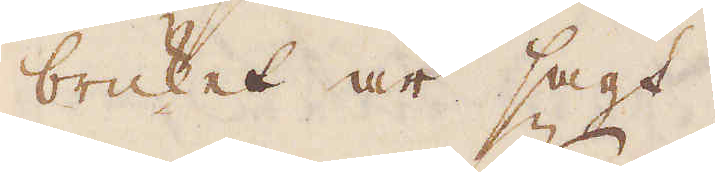bruket är sagt.
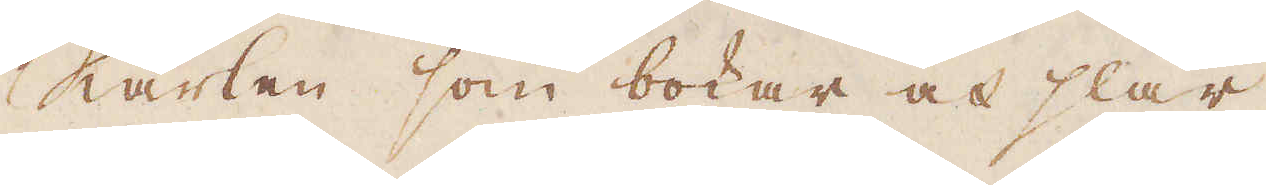Karlen som bokar och slår
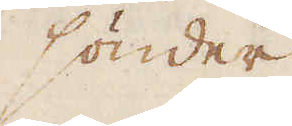sönder
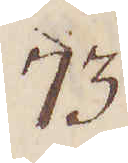73.
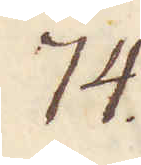74.
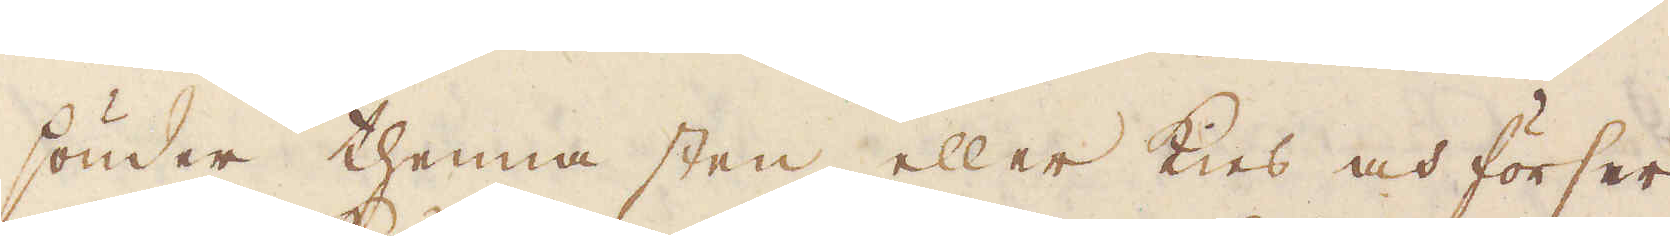sönder thenna sten eller Kies och förser
